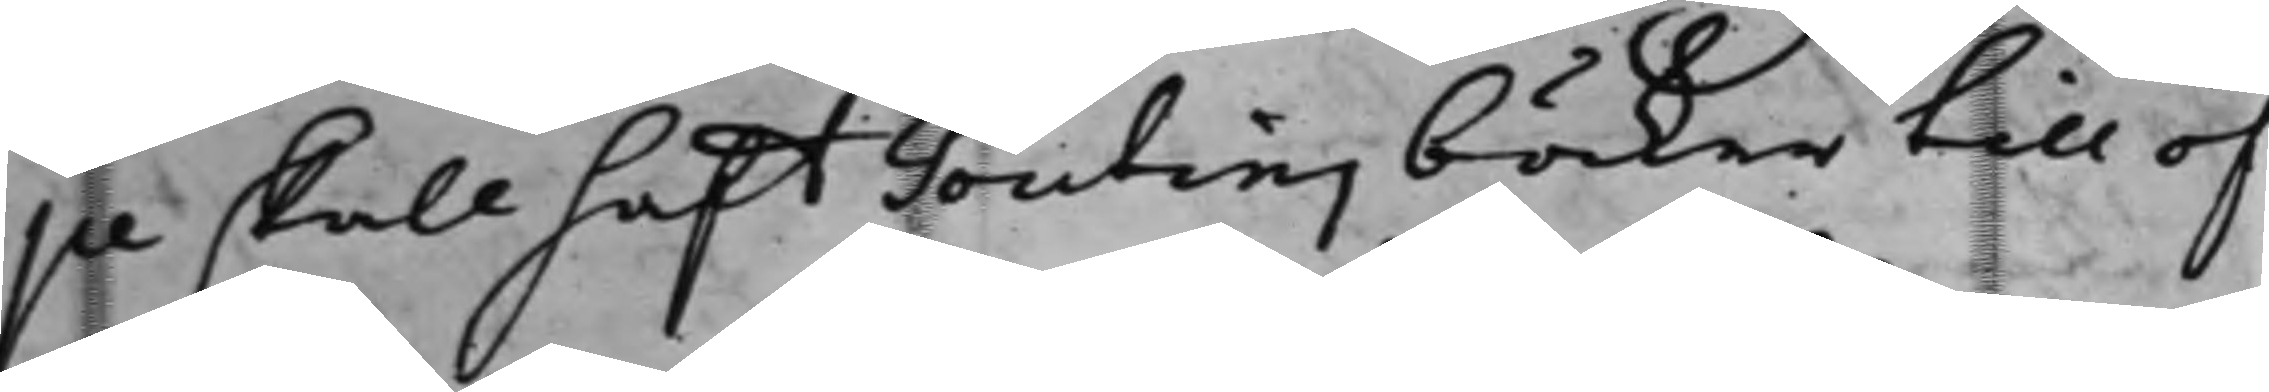pe skall haft Tontins böcker till öf¬
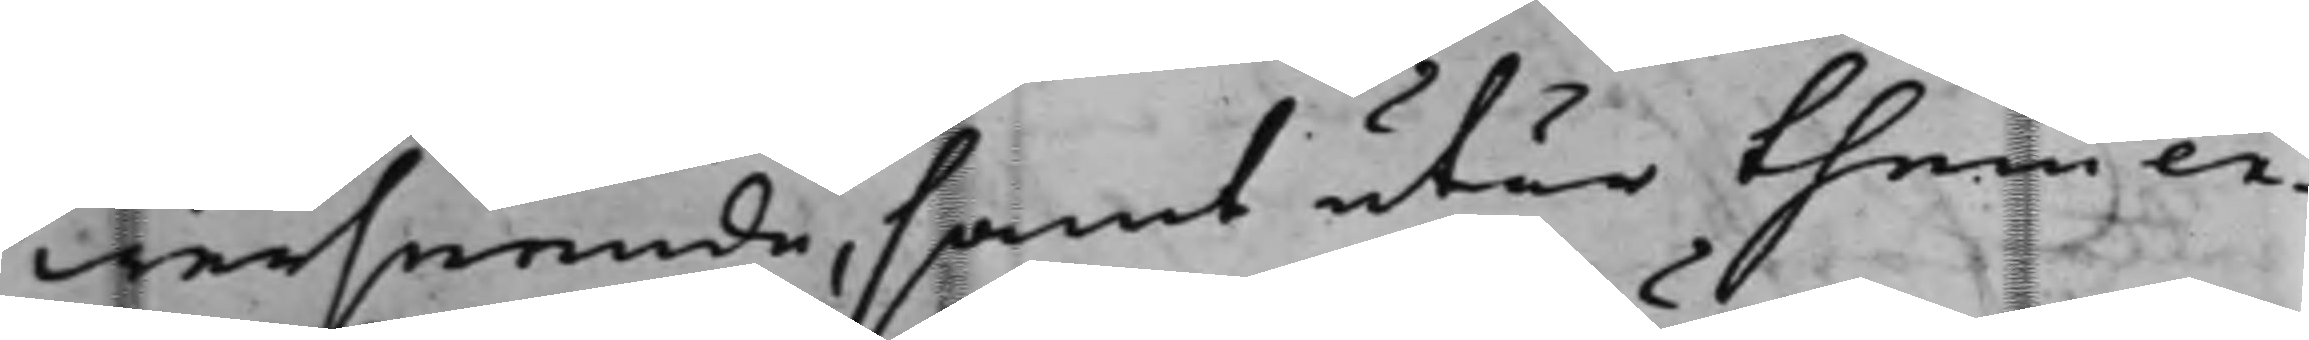werseende, samt utur them ex¬
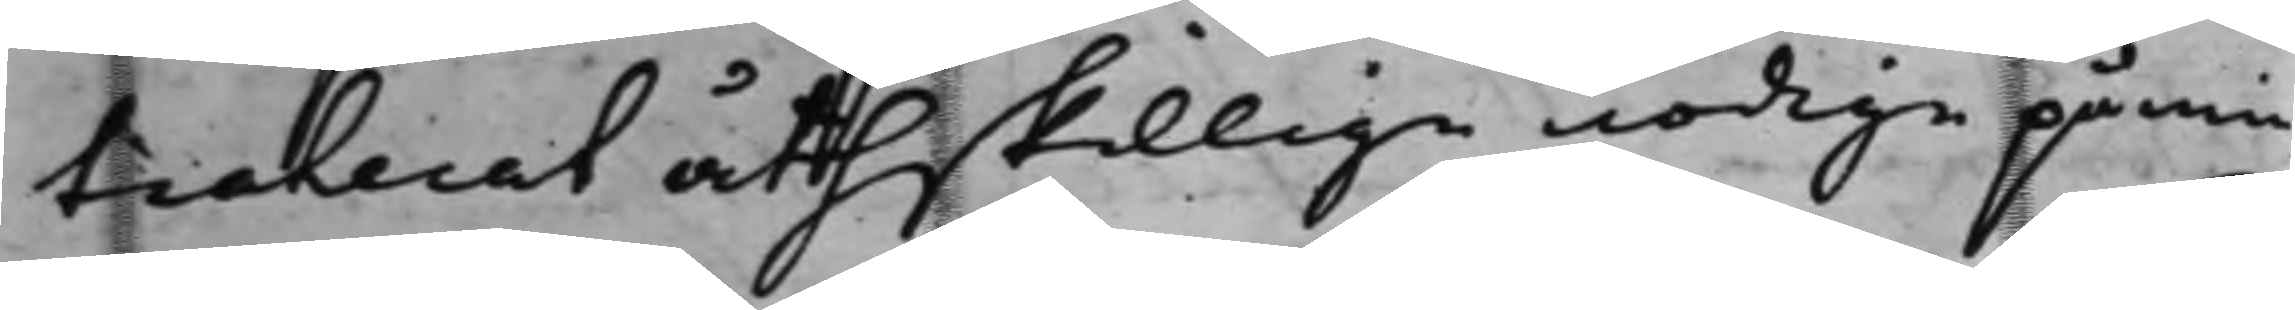traderat åtthskillige nödige påmin¬
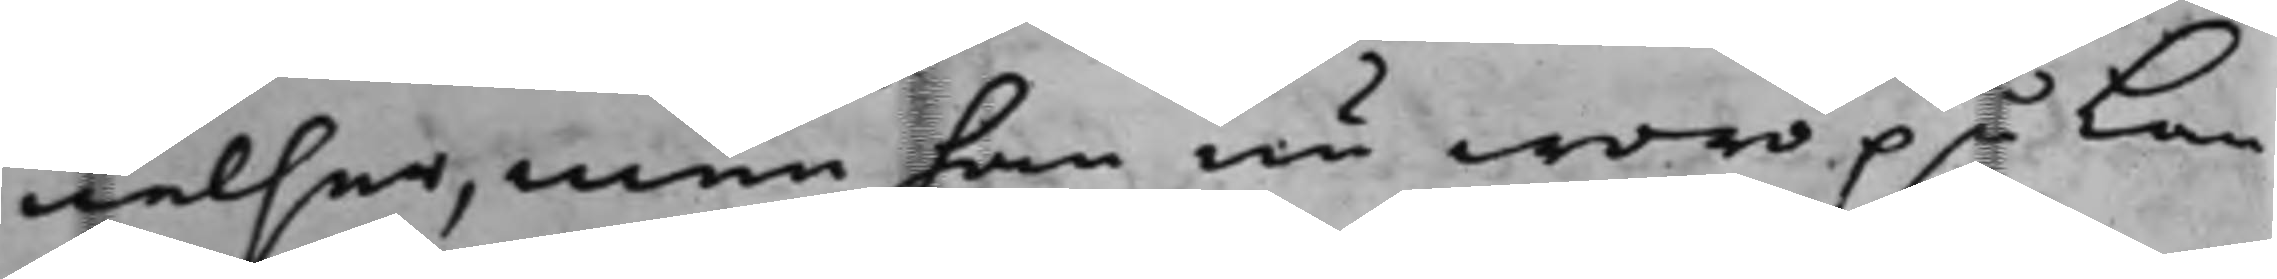nelser, men han nu woro på Lan¬
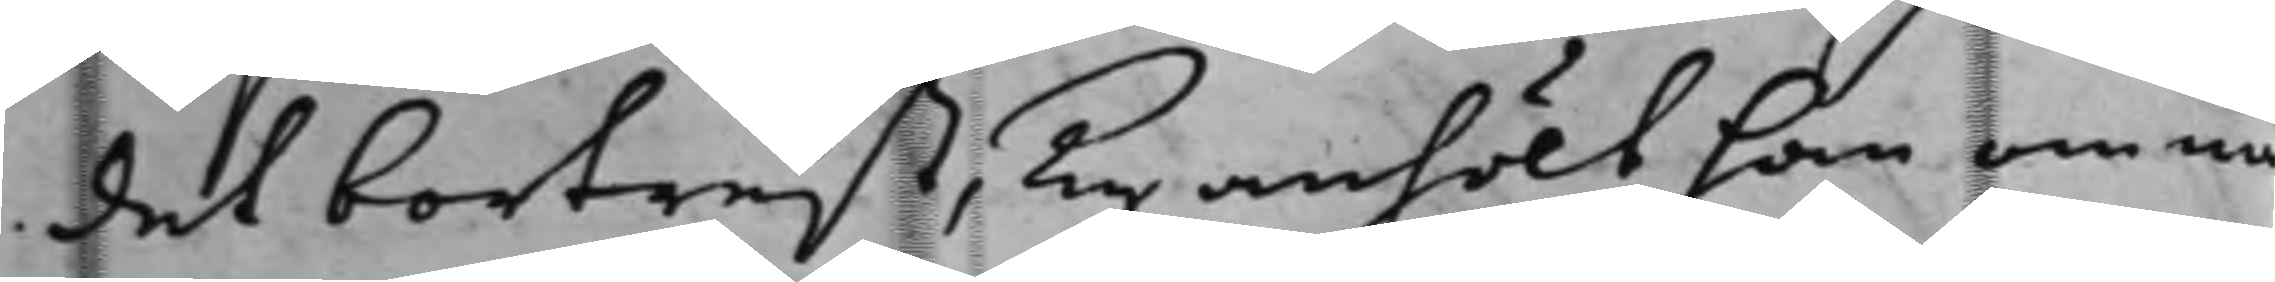det bortrest, Ty anhölt han om nå¬
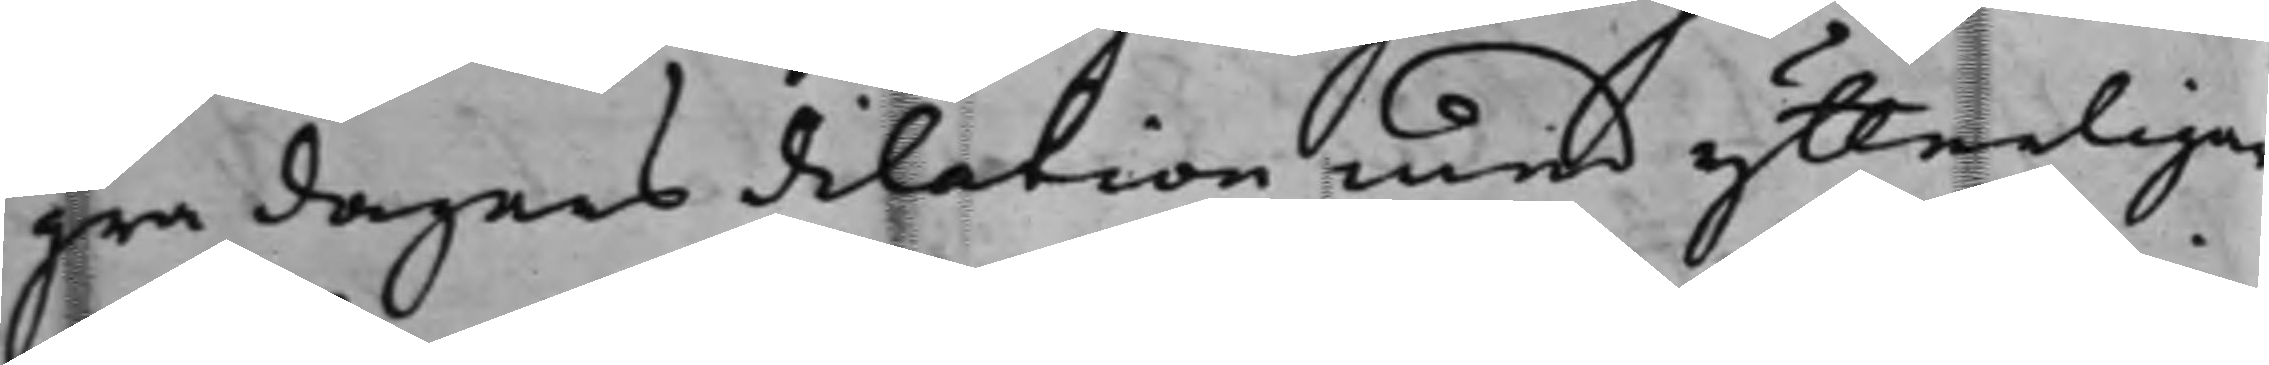gra dagars dilation med ytterligar
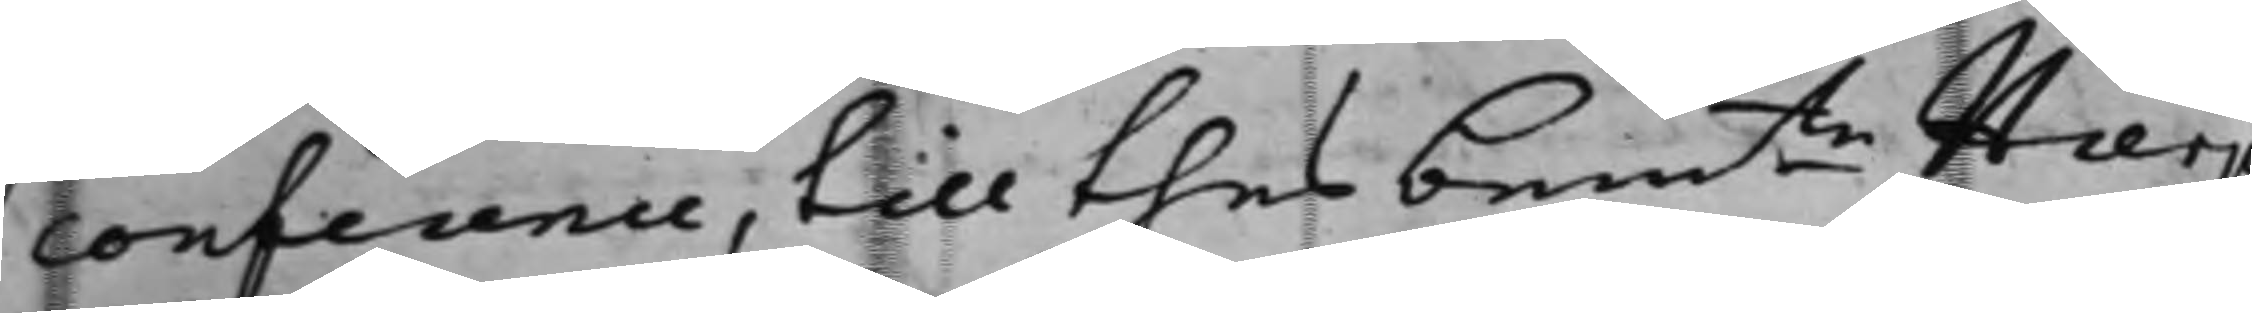conference, till thes bemte Hierp
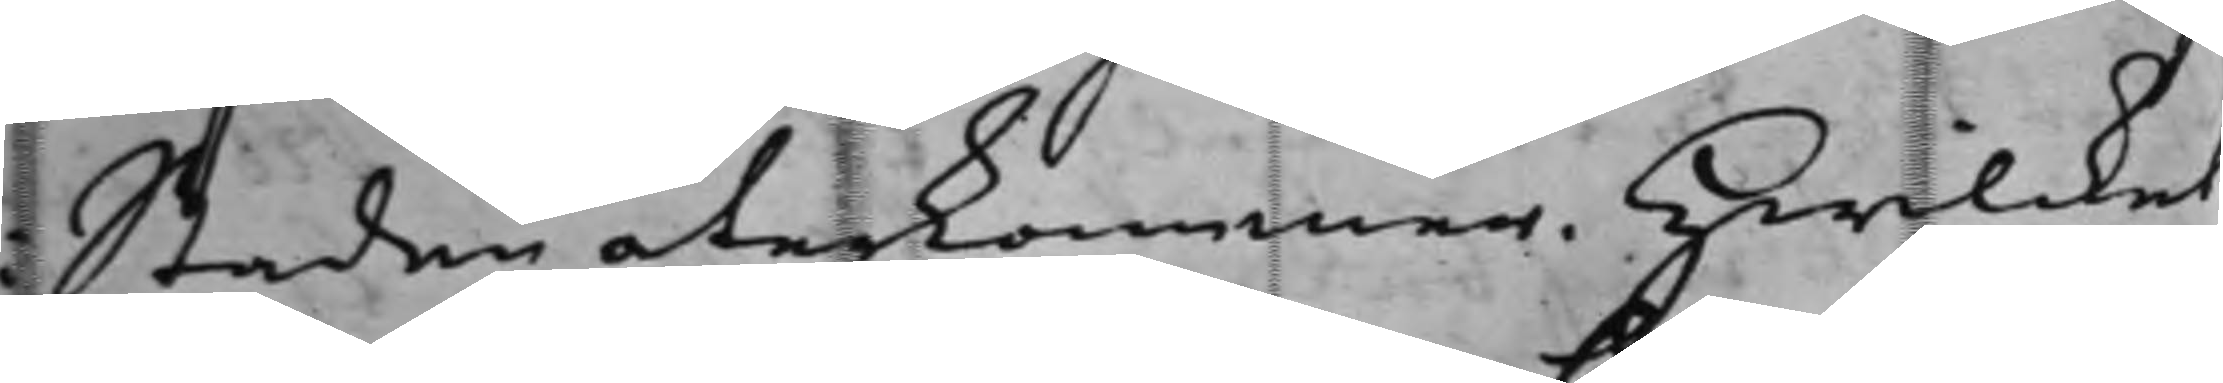Staden återkommer. Hwilcket
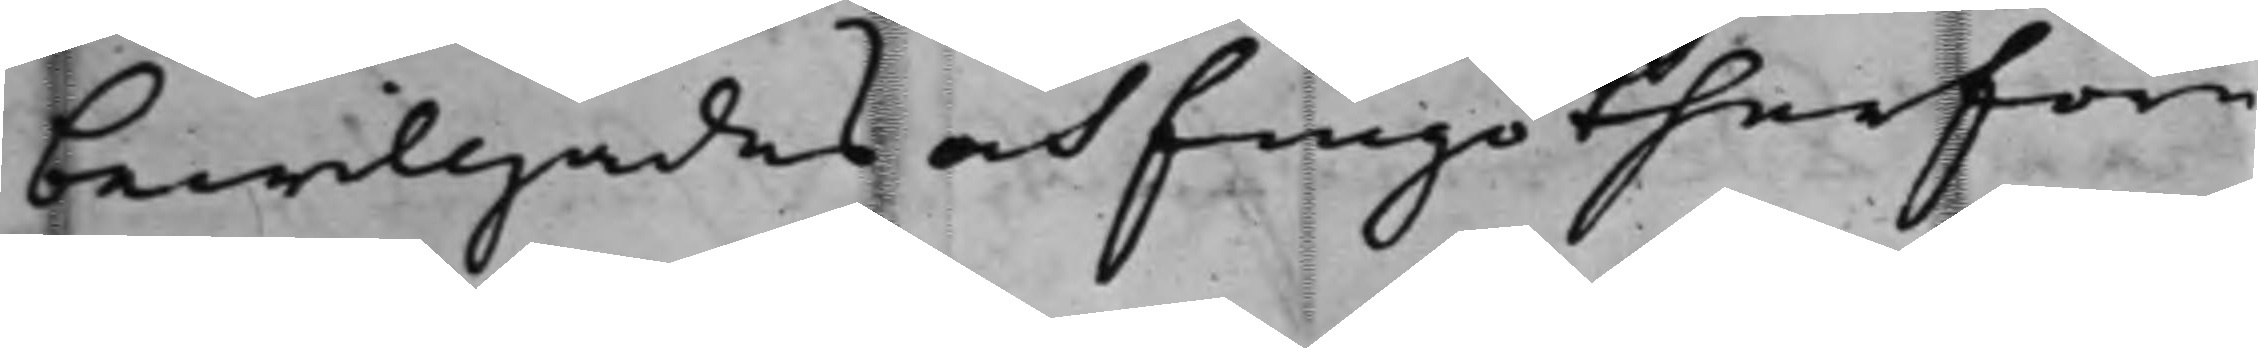bewilljades och fingo therföre
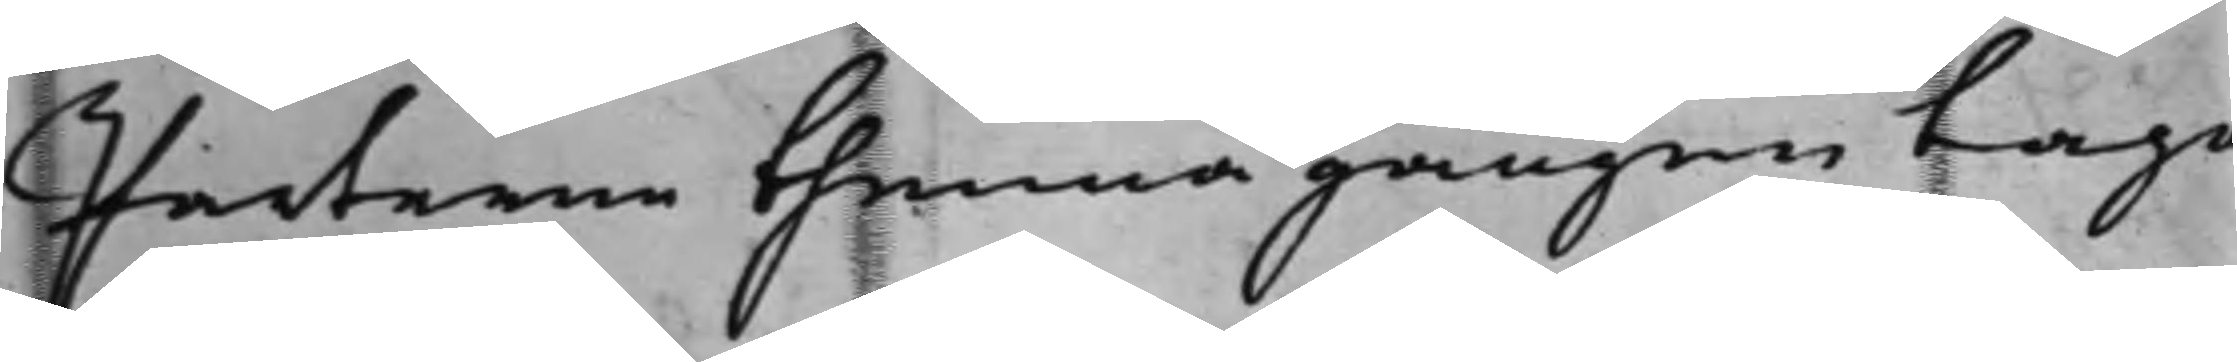Parterne thenna gången taga
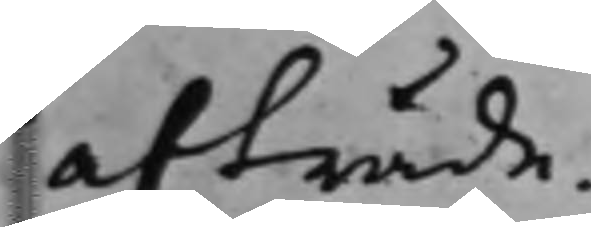afträde.
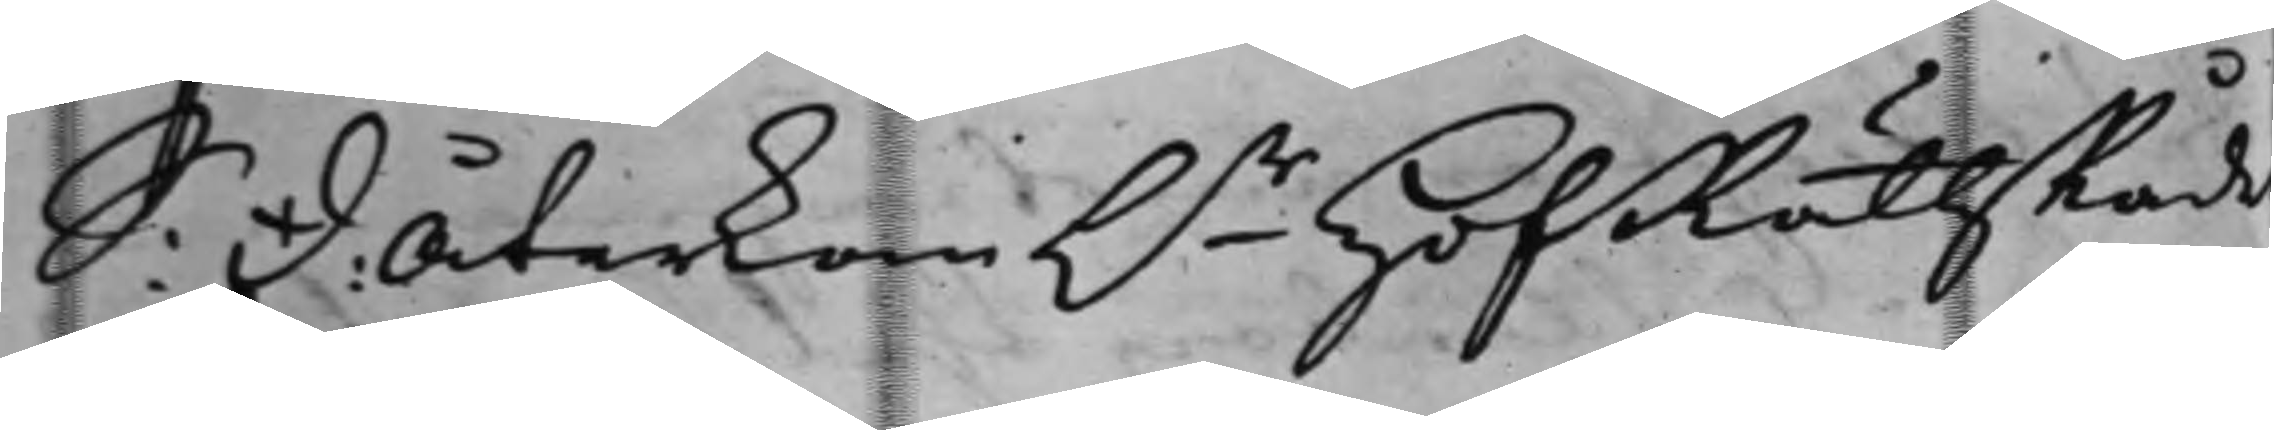S: D: Återkom  h.r HofRättsRåde
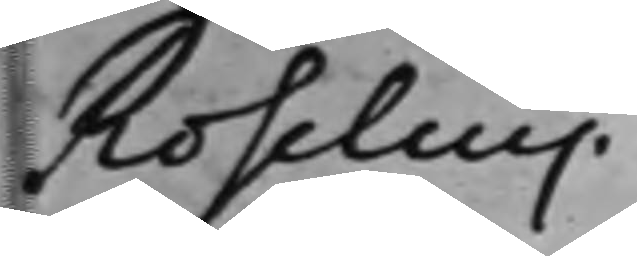Roselius.
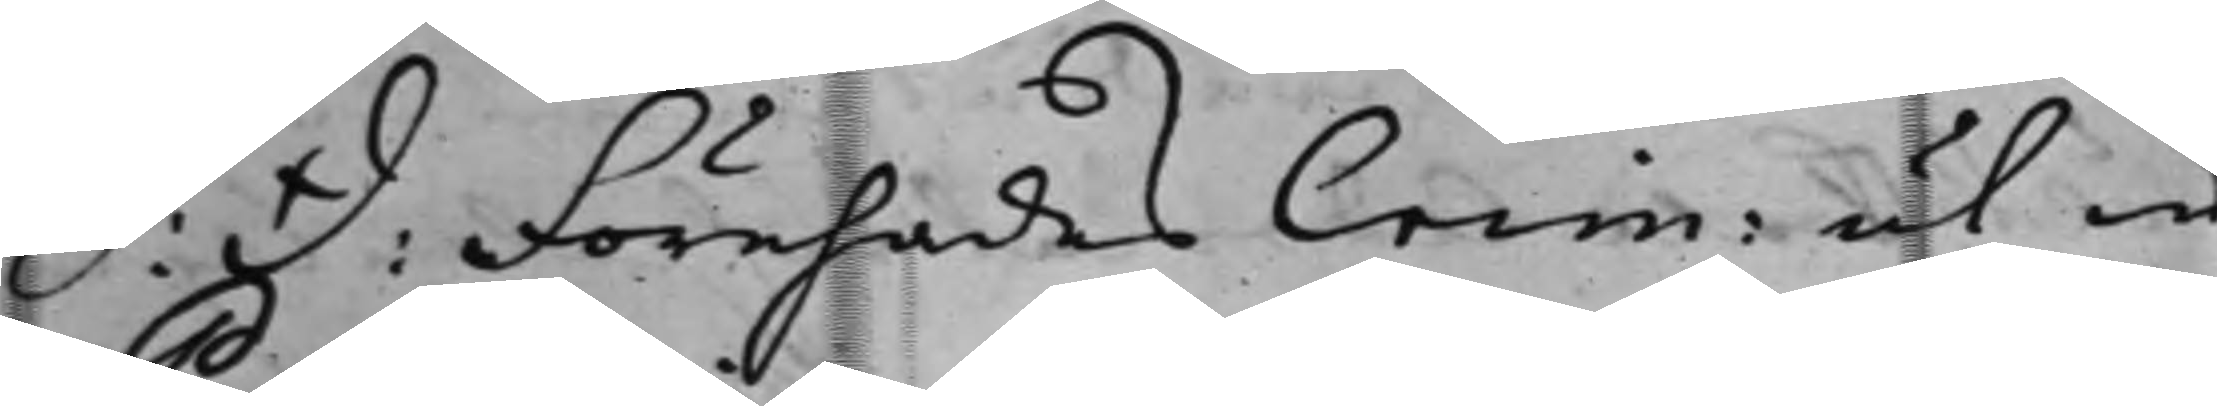S D: Förehades Crim: ut in
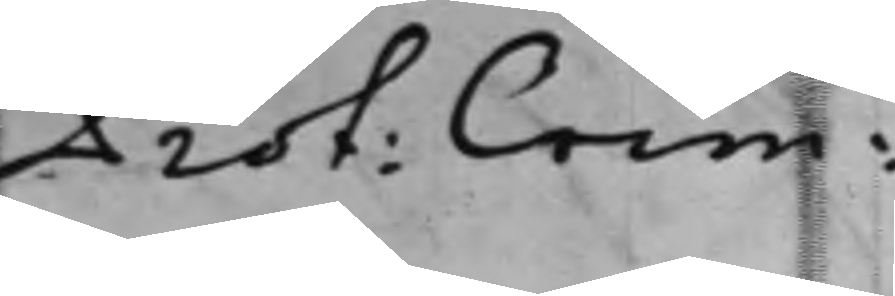Prot: Crim:
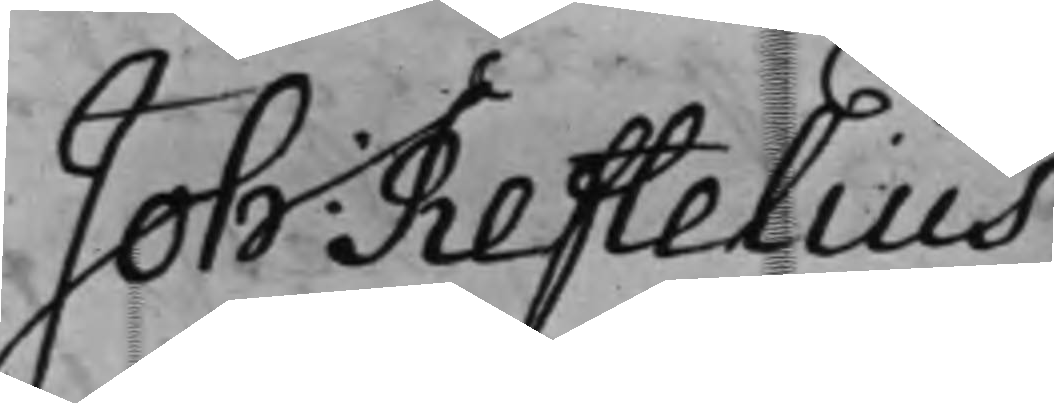Joh: Reftelius.
